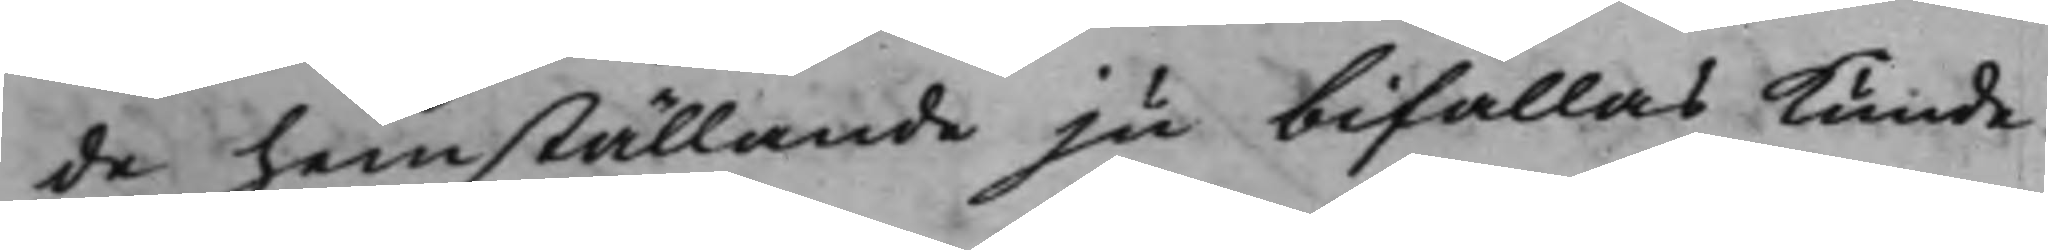de he,mställande ju bifallas kunde.
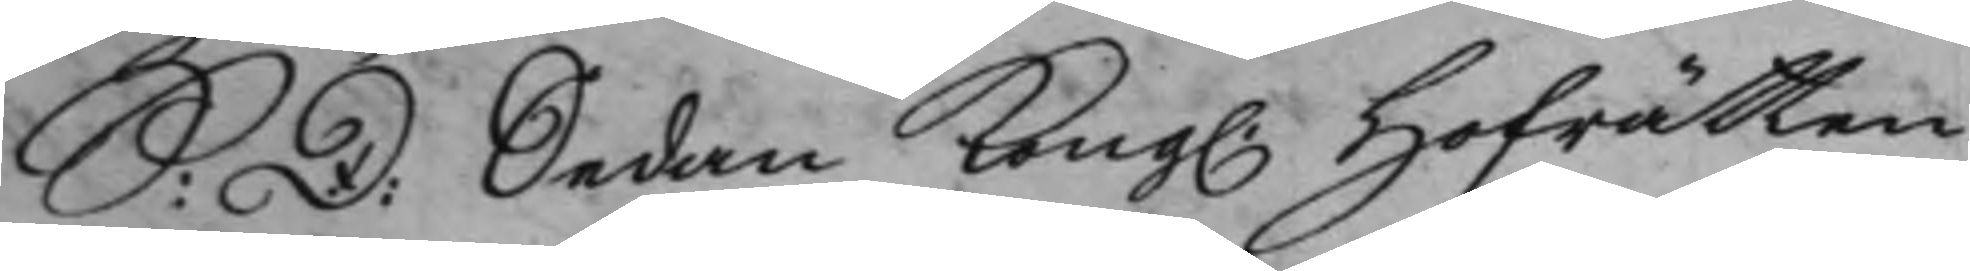S: D: Sedan Kong. Hofrätten
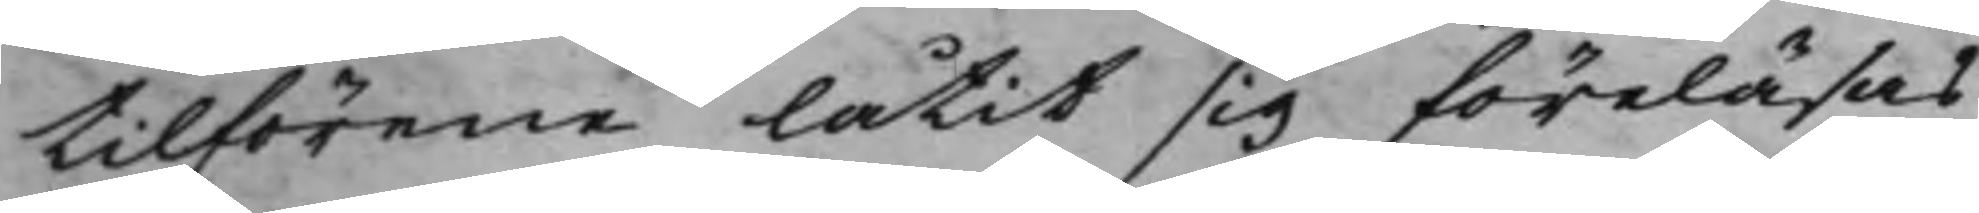tilförene låtit sig föreläsas
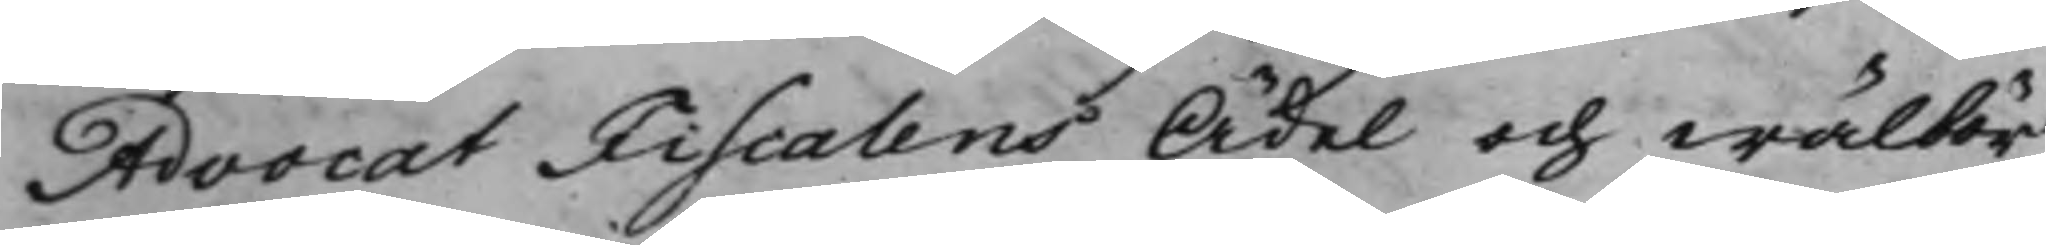AdvocatFiscalens Ädel och wälbör¬
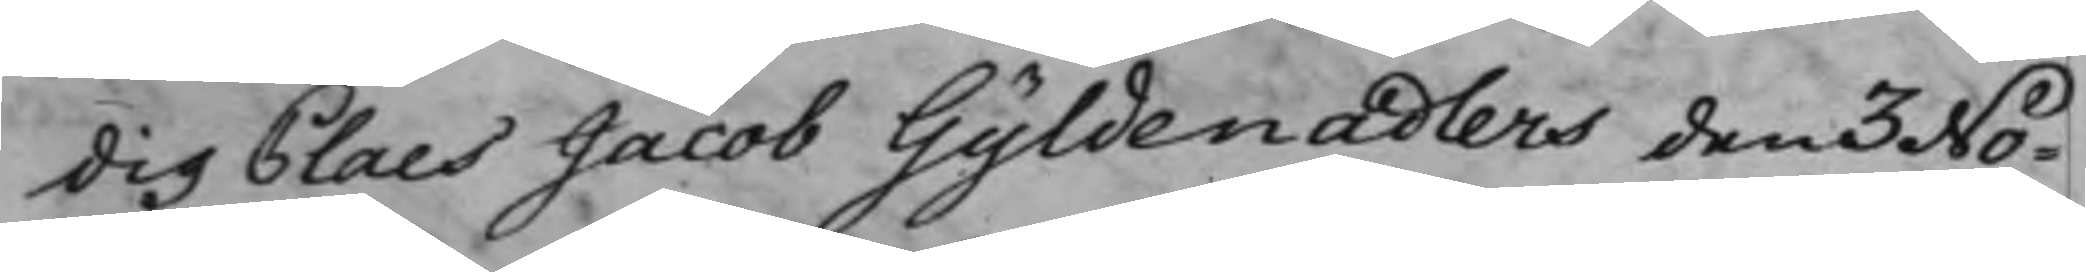dig Claes Jacob Gyldenadlers den 3 No¬
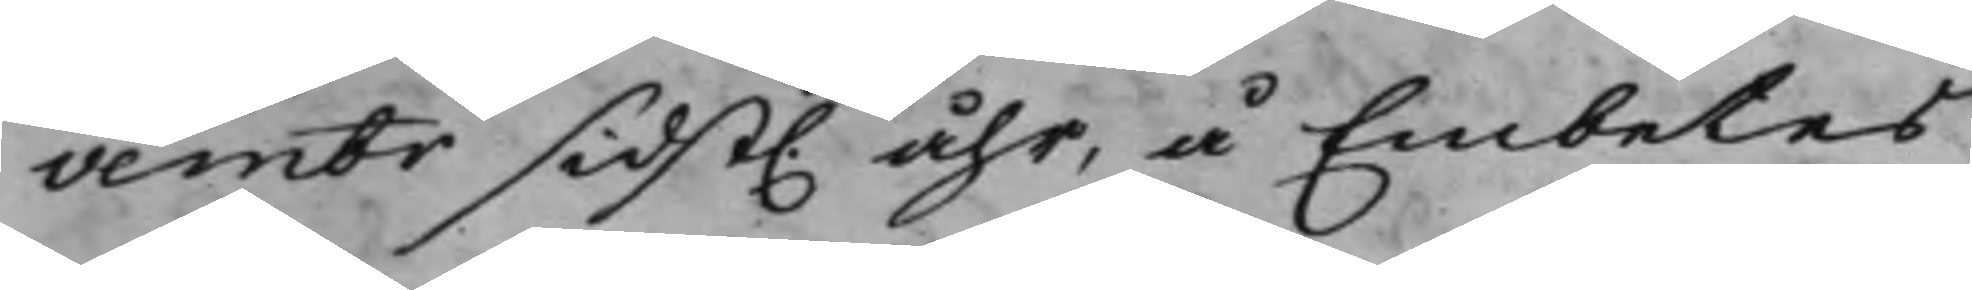vembr sidst. åhr, å Embetes
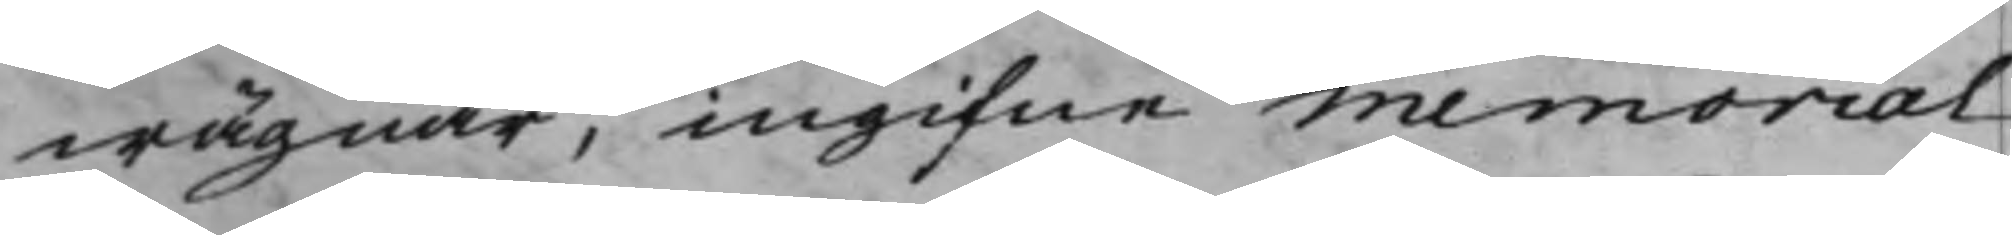wägnar, ingifne Memorial
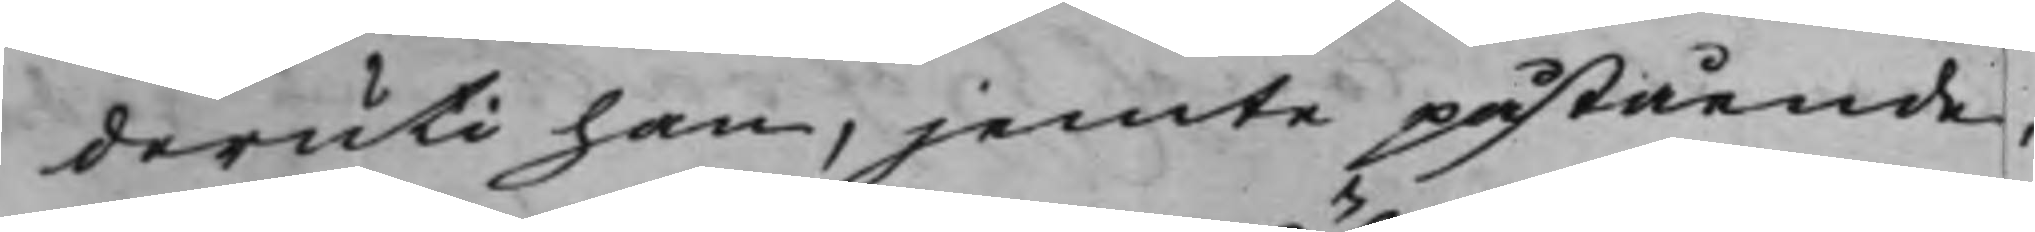deruti han, jemte påstående,
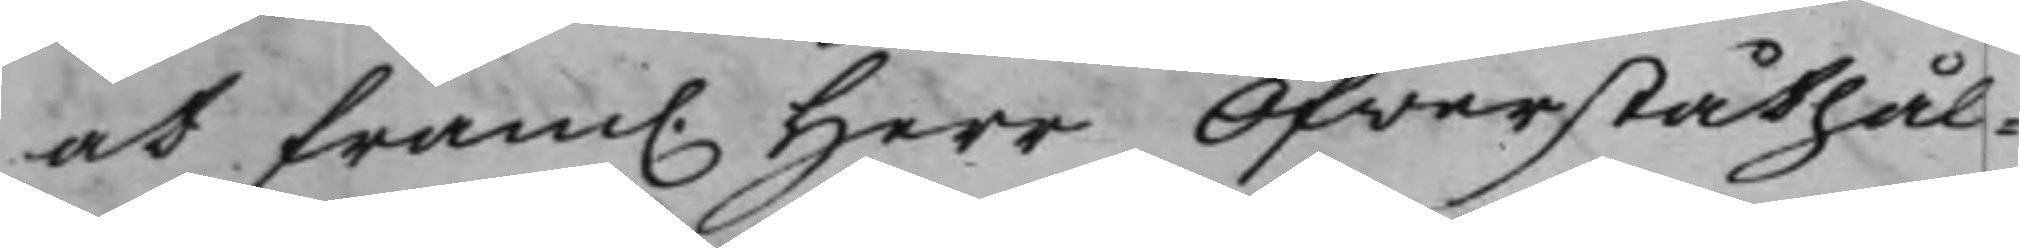at fram. Herr Öfverståthål¬
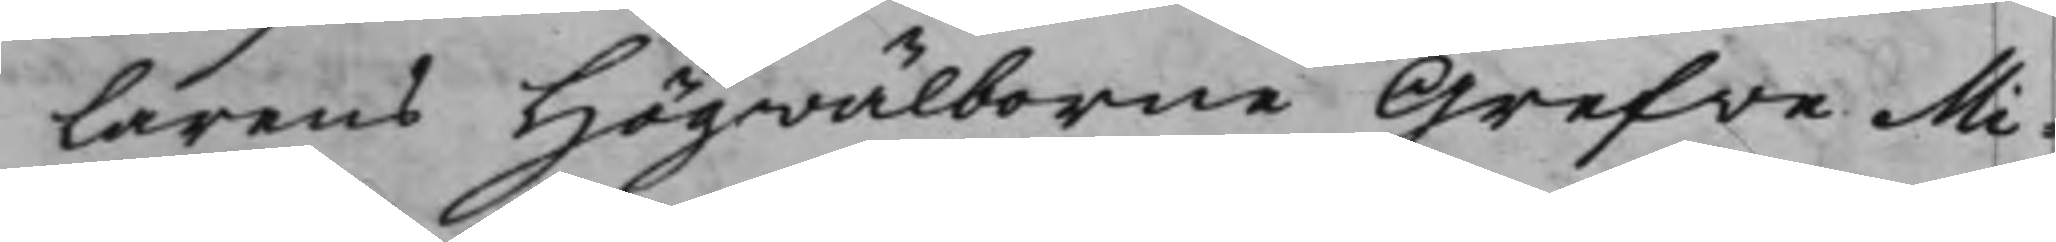larens Högwälborne Grefve Mi¬
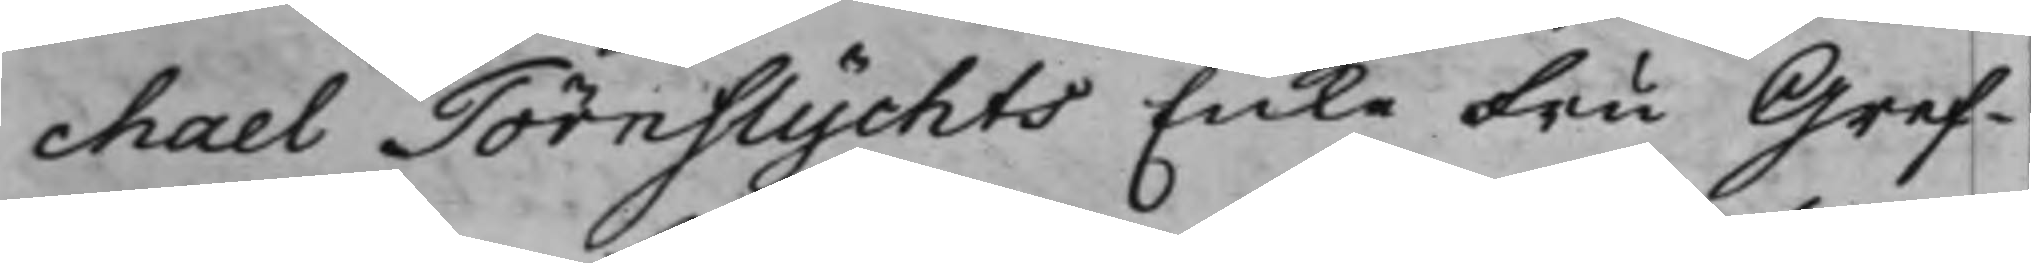chael Törnflychts EnkeFru Gref¬
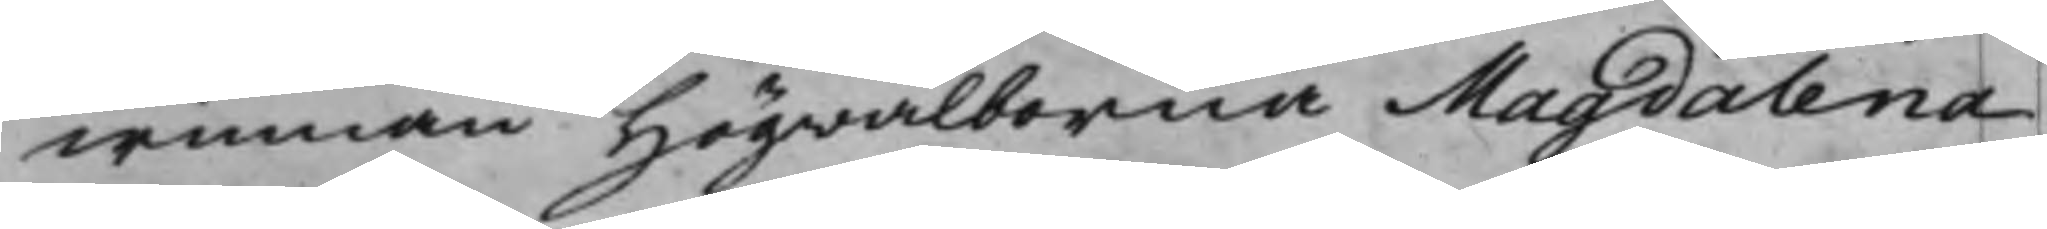winnan Högwälborna Magdalena
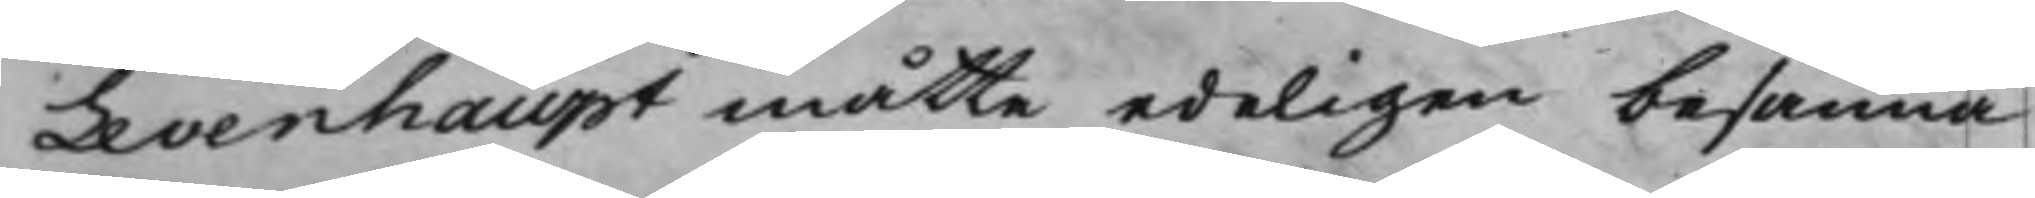Levenhaupt måtte edeligen besanna
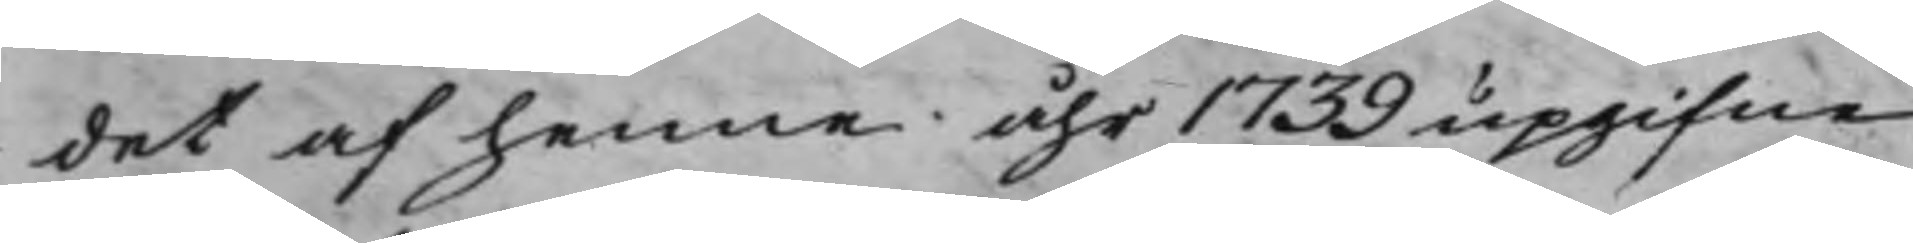det af henne åhr 1739 upgifne
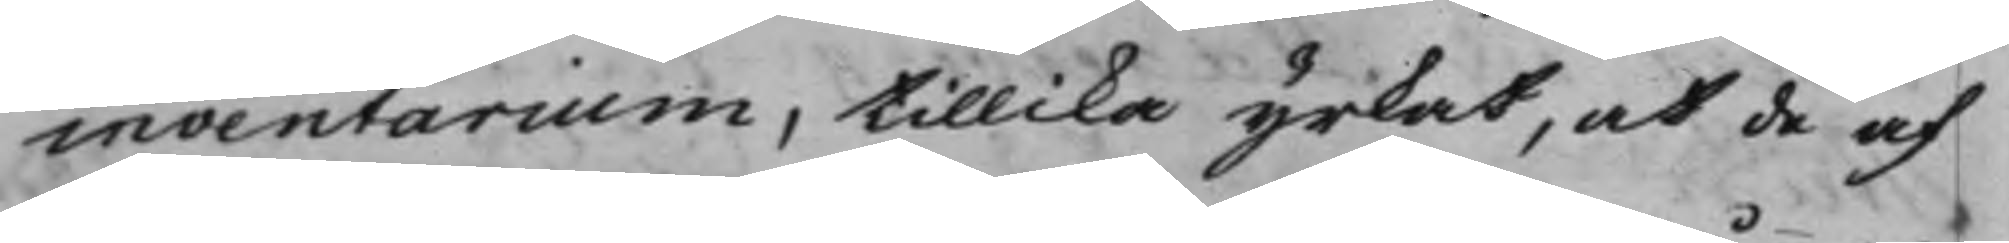inventarium, tillika yrkat, at de af
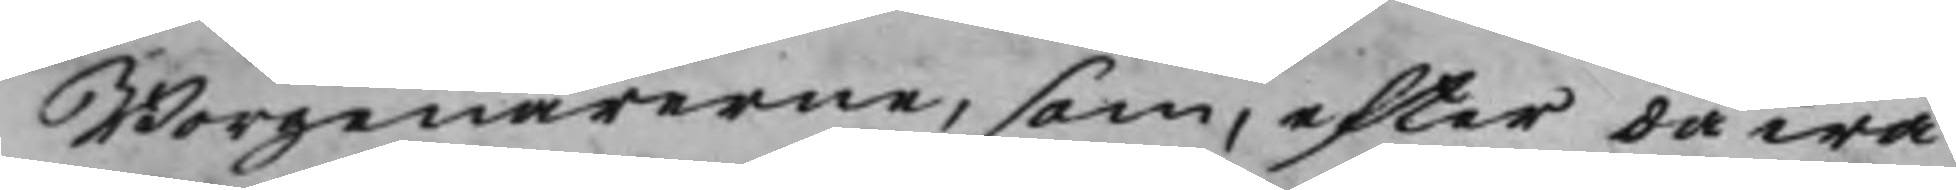Borgenärerne, som, efter dåwa¬
